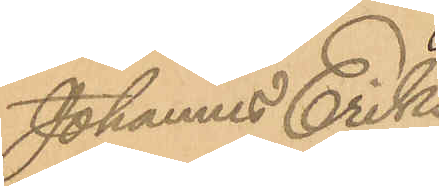Johannes Eriks¬
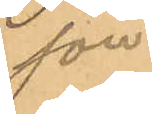son.
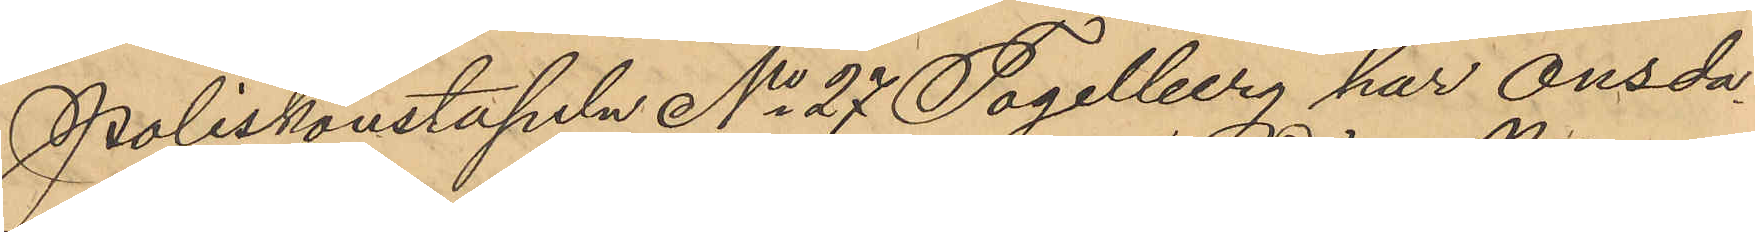Poliskonstapeln No 27 Tagelberg har onsda¬
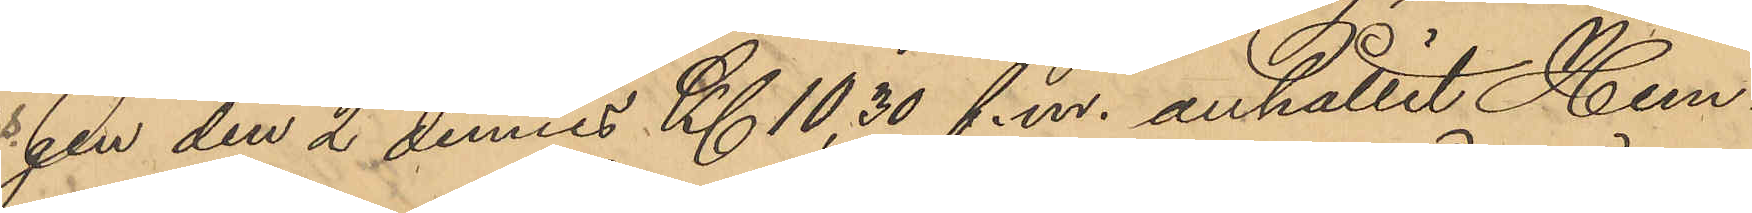gen den 2 dennes Kl 10,30 f.m. anhållit Hem¬
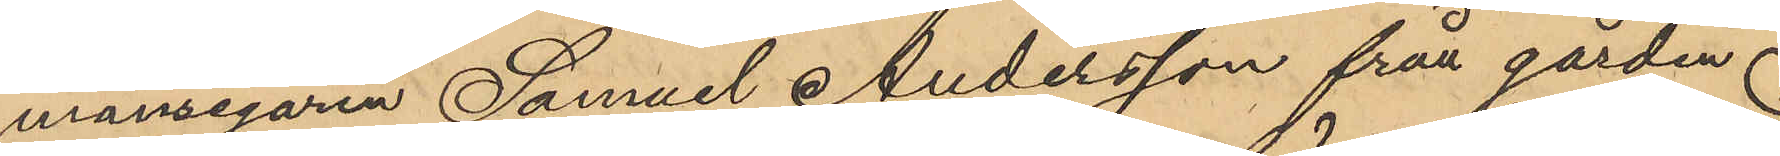mansegaren Samuel Andersson från gården
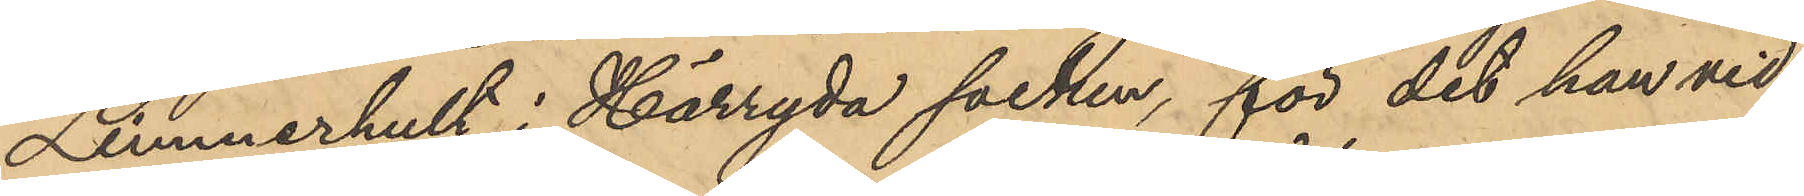Limmerhult i Härryda socken, för det han vid
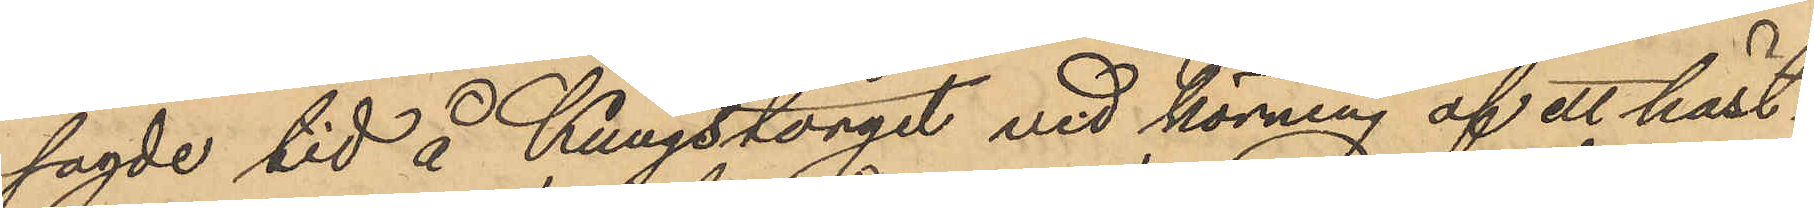sagde tid å Kungstorget vid körning af ett häst¬
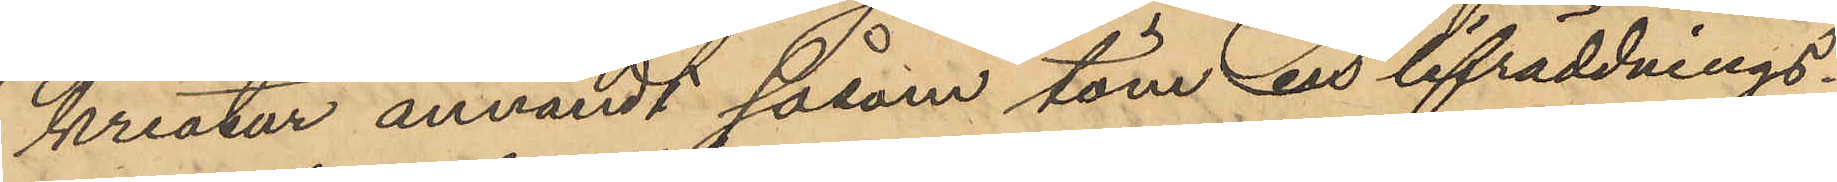kreatur användt såsom töm en lifräddnings¬
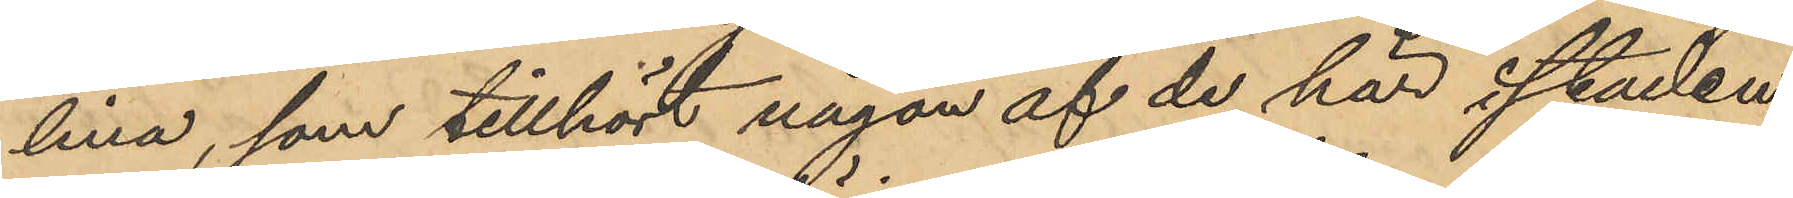lina, som tillhört någon af de här i staden
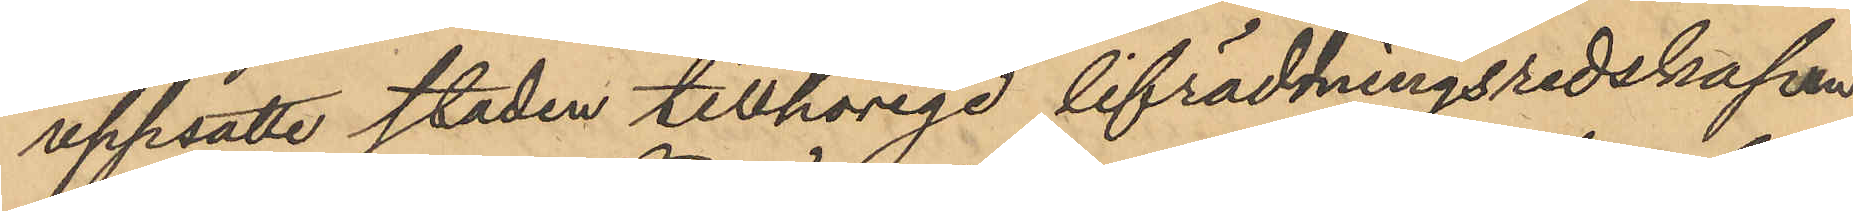uppsatte staden tillhörige lifräddningsredskapen.
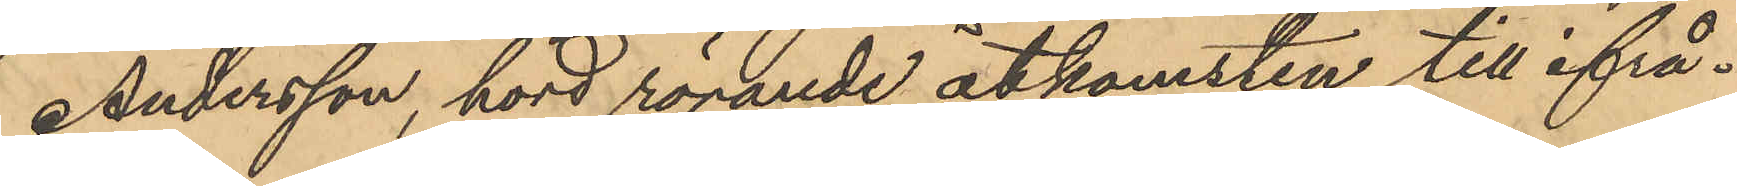Andersson, hörd rörande åtkomsten till ifrå¬
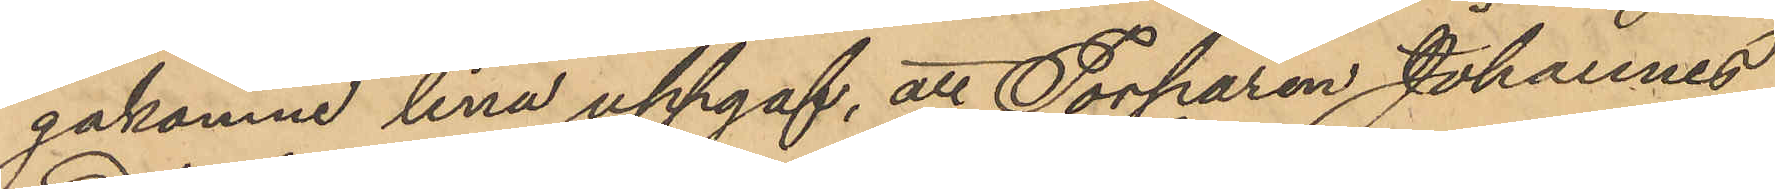gakomne lina uppgaf, att Torparen Johannes
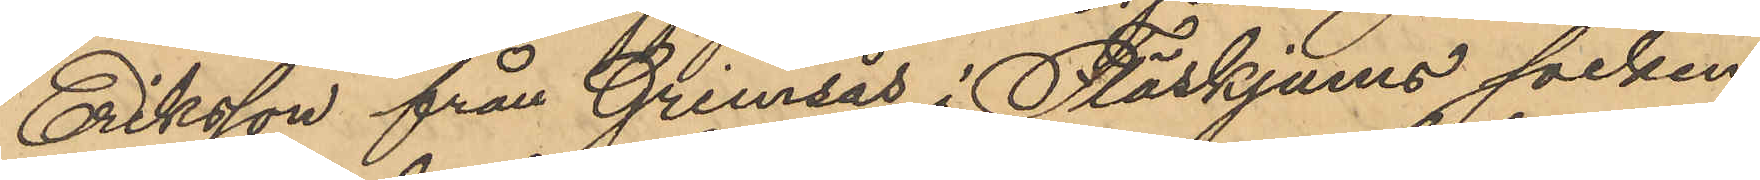Eriksson från Grimsås i Fläskjums socken
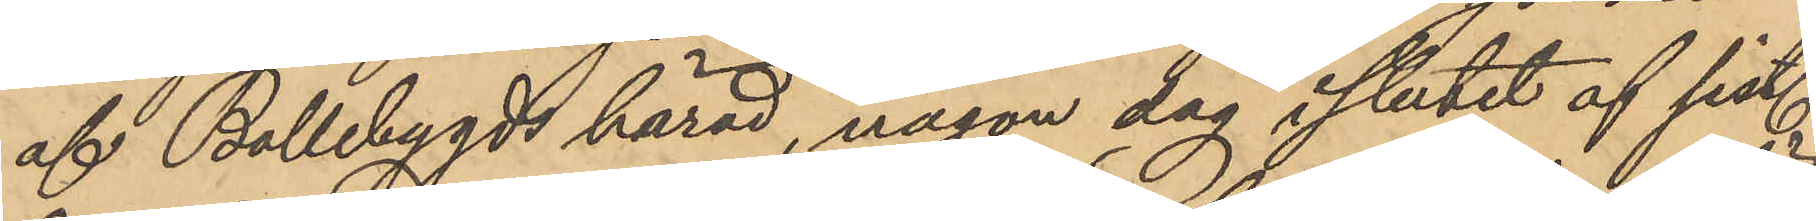af Bollebygds härad, någon dag i slutet af sist.
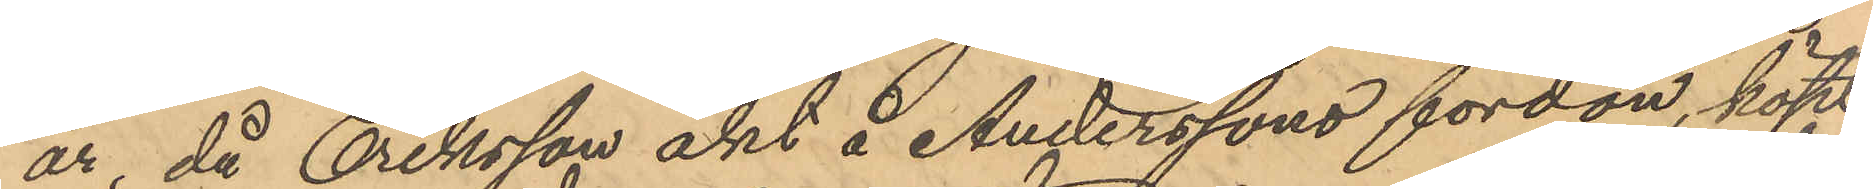år, då Eriksson åkt å Anderssons fordon, köpt
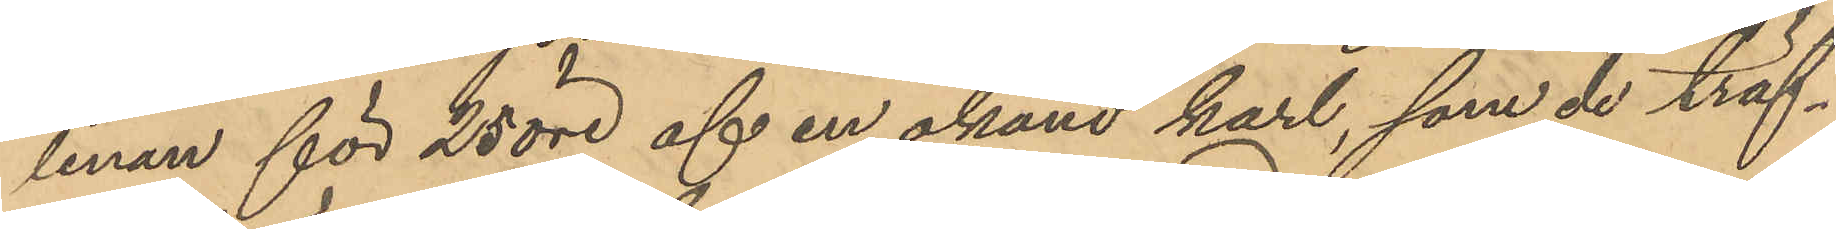linan för 25 öre af en okänd karl, som de träf¬
